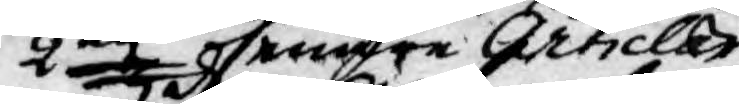the 2ne  senare Articlar
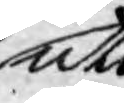uti
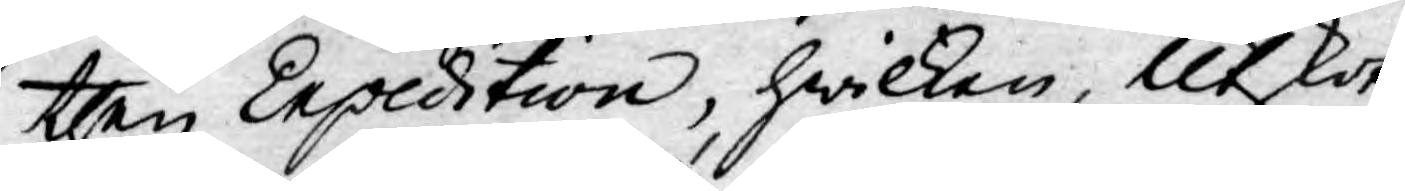then Expedition, hwilken, Utskot¬
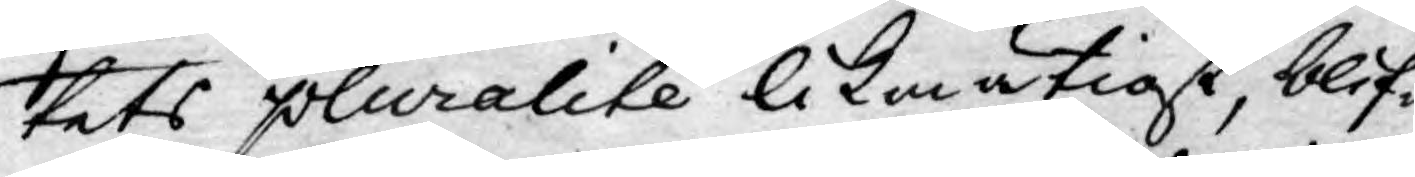tets pluralité likmätigt, blif¬
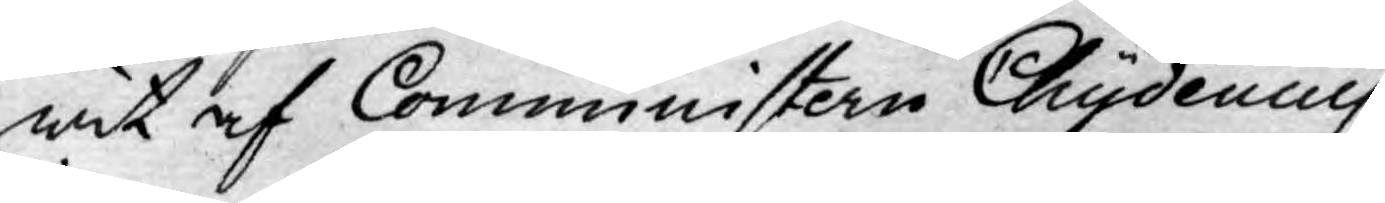wit af Commmnistern Chydenius
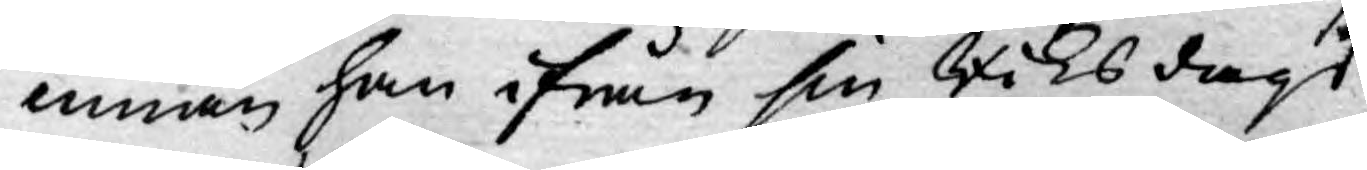innan han ifrån sin Riksdags¬
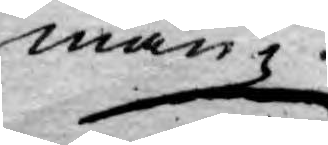man¬
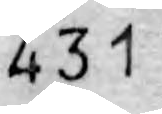431
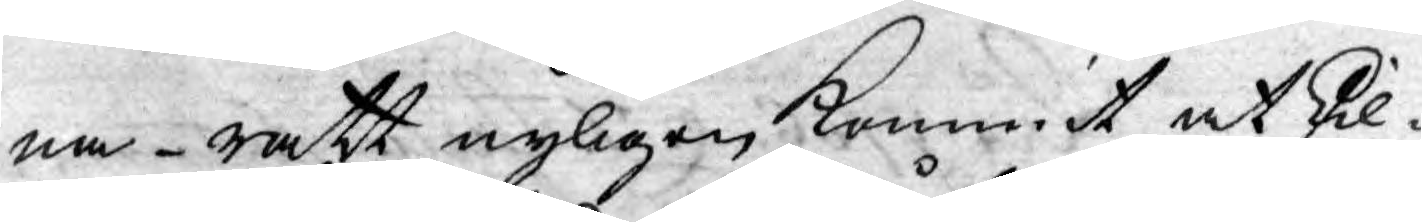na rätt nyligen kommit at skil¬
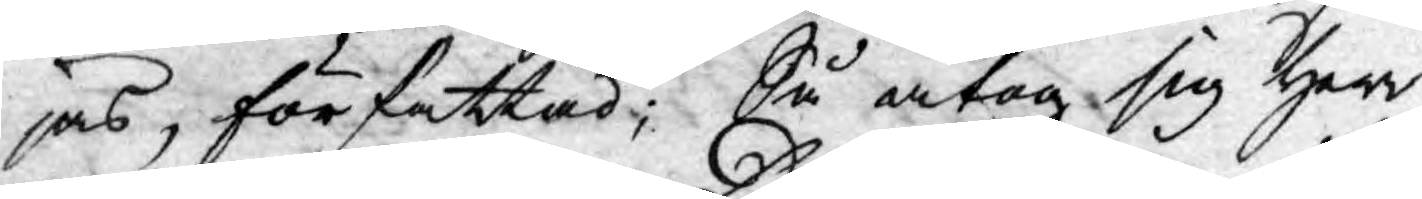jas, författad; Så åtog sig Herr
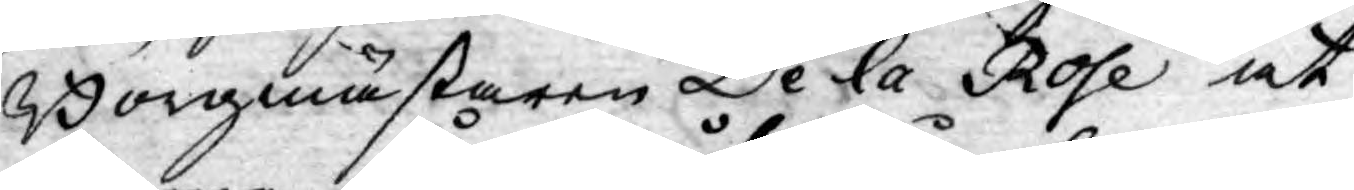Borgmästaren De la Rose at
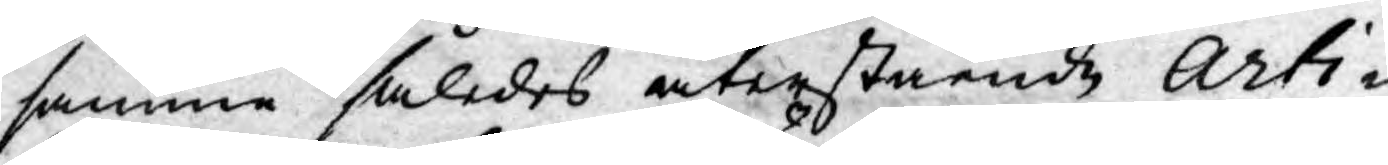samma således återstående Arti¬
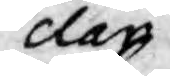clar
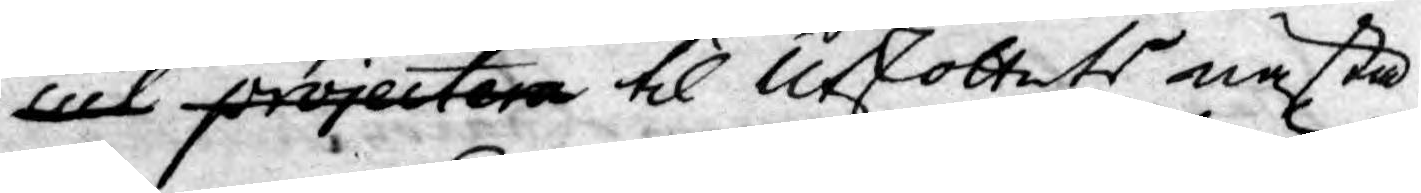cul projectera til Utskottets nästa
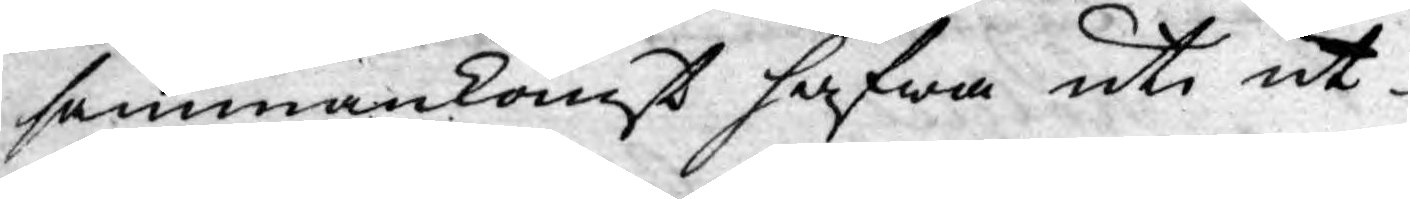sammankomst hafwa uti ut¬
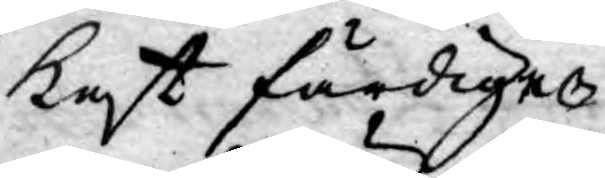kast färdige.
